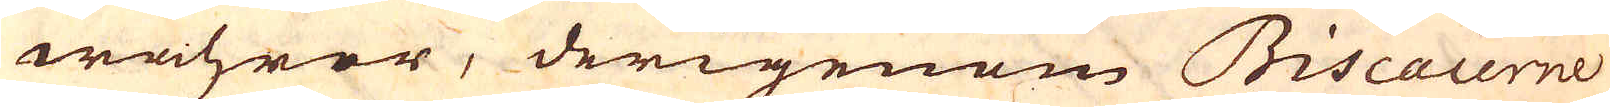wahrer, derigenom Biscaierne
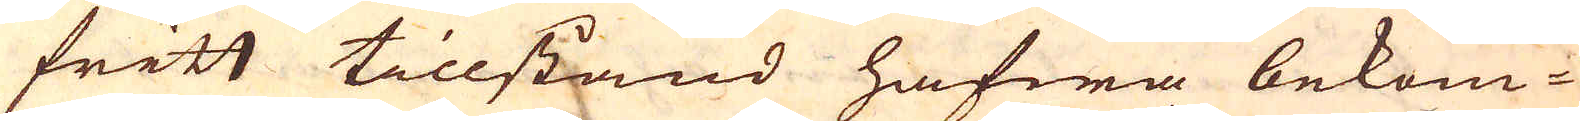fritt tillstånd hafwa bekom-
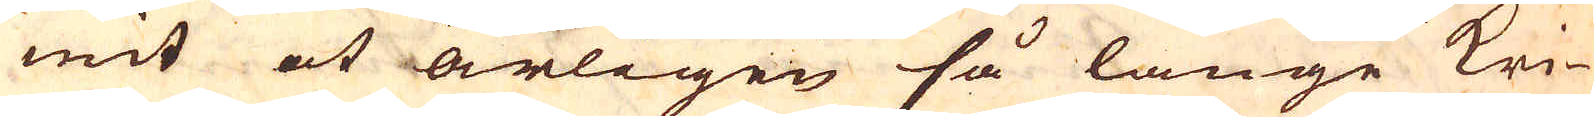mit at årligen så länge kri-
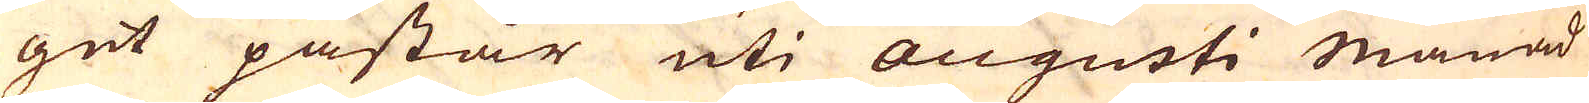get påstår uti augusti månad
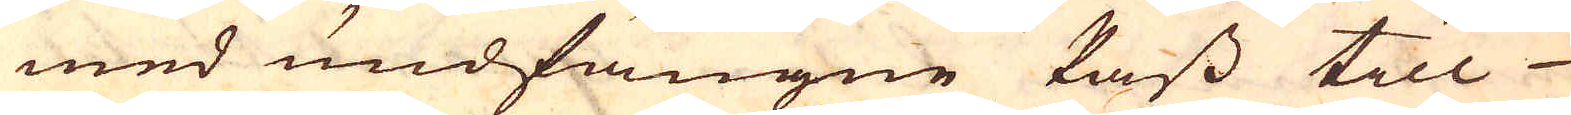med undfångne Pass till
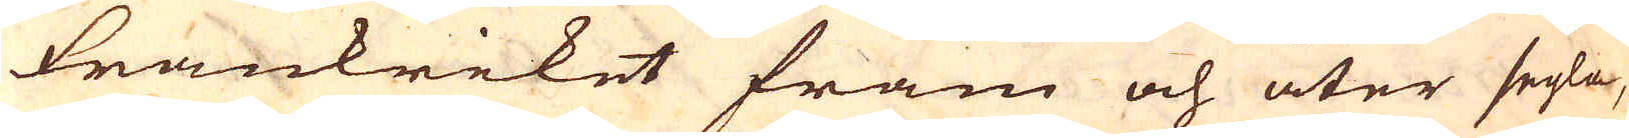Frankriket fram och åter segla,
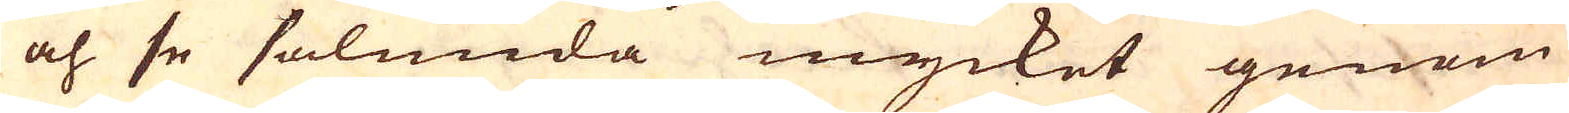och se sålunda mycket genom
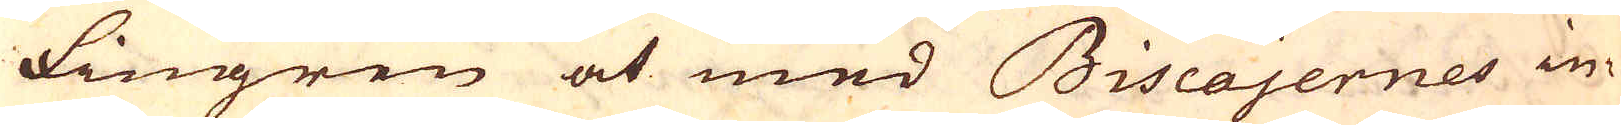fingren at med Biscajernes in-
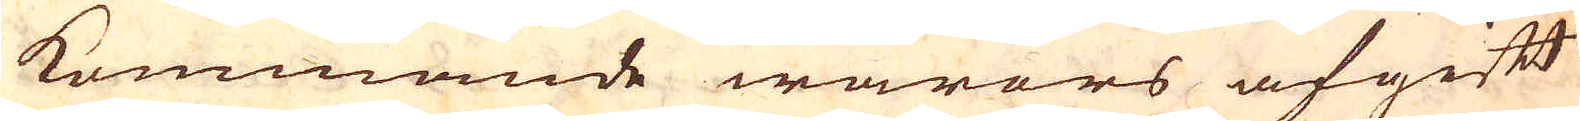kommande warors afgift
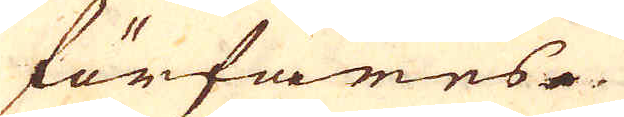förfares.
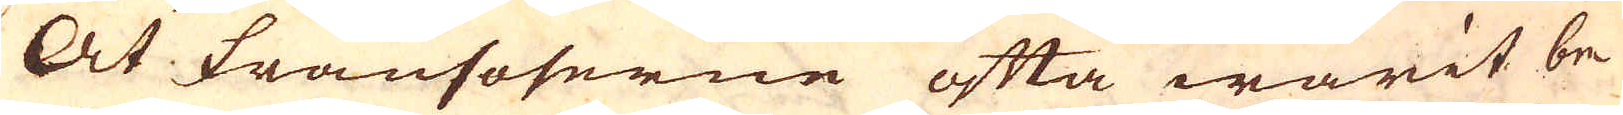At Fransoserne ofta warit be-
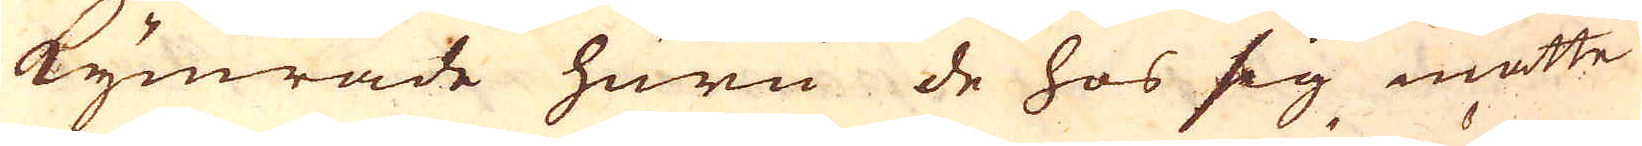kymrade huru de hos sig måtte
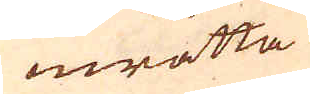inrätta
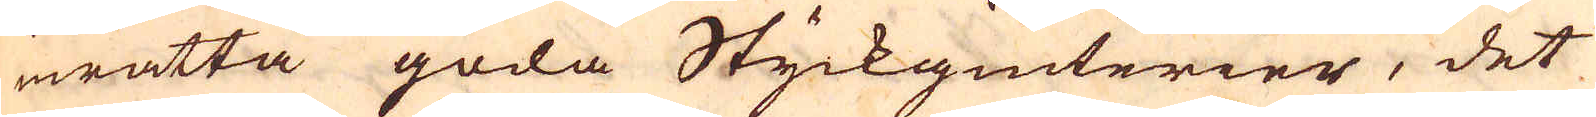inrätta goda Styckgiuterier, det
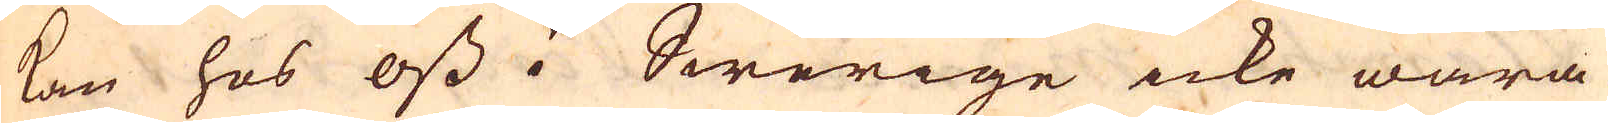kan hos oss i Swerige icke wara
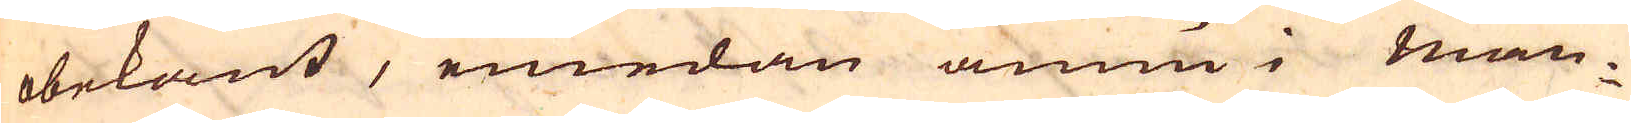obekant, emedan ännu i man-
